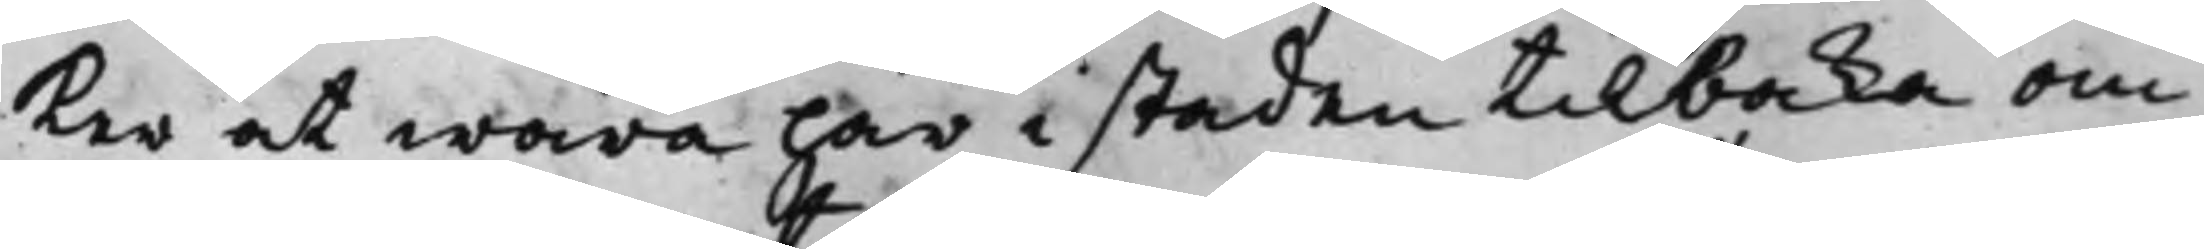ker at wara här i staden tilbaka om
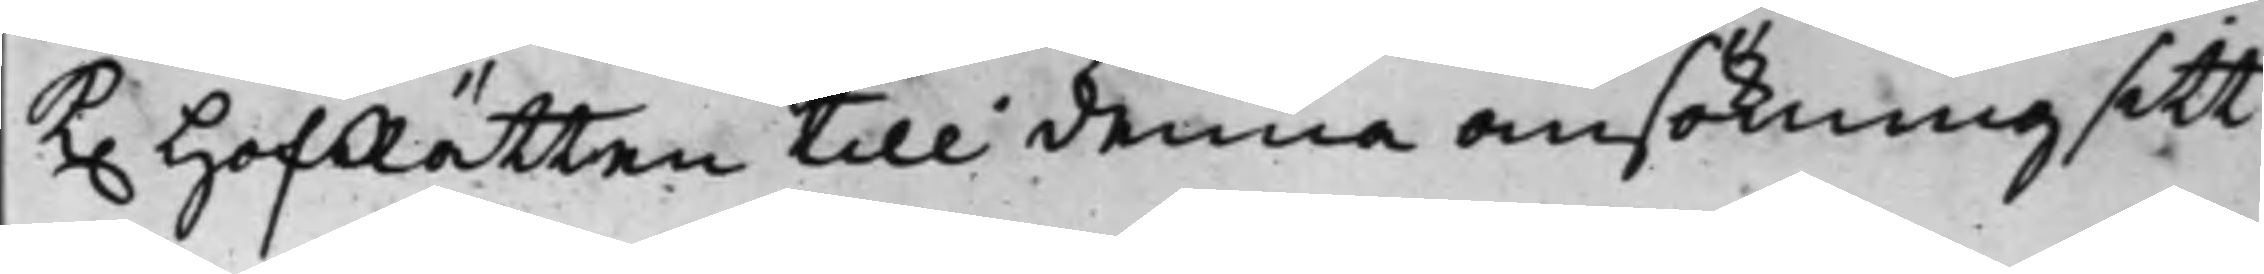K. HofRätten till denna ansökning sitt
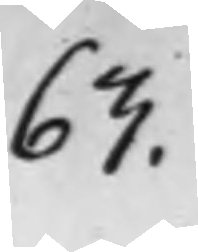63.
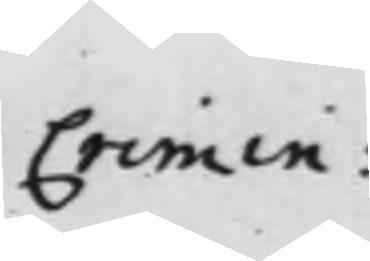Crimin:
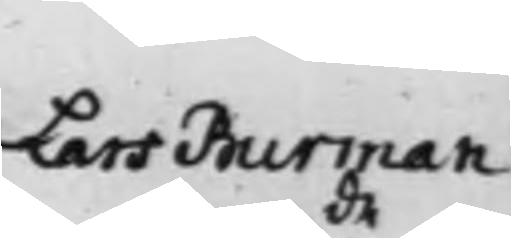Lars Burman
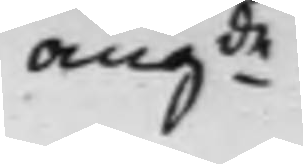angde.
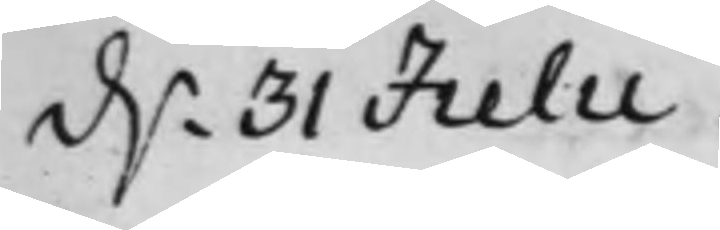d.n 31 Julii.
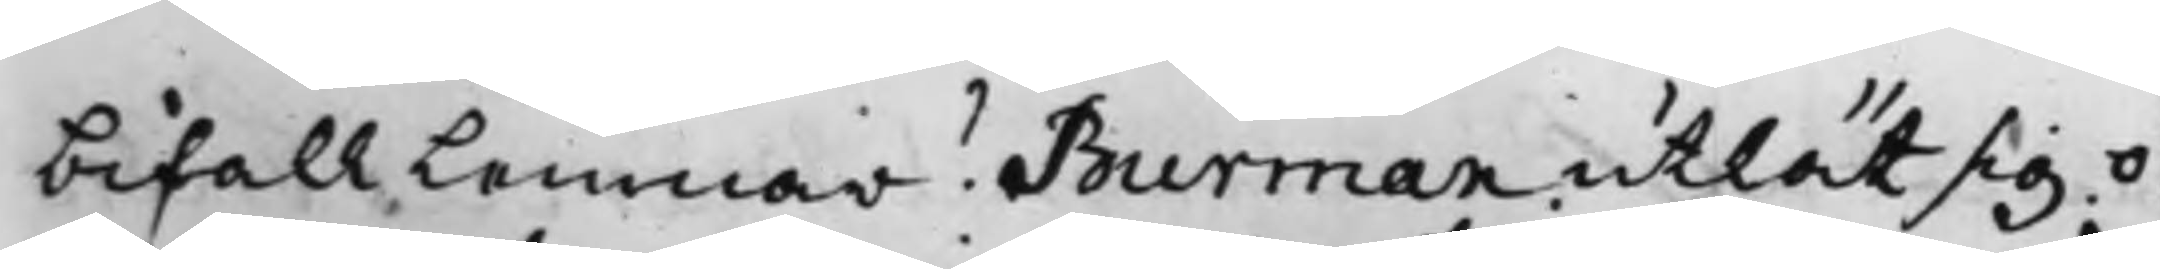bifall Lemnar? Burman utlät sig o¬
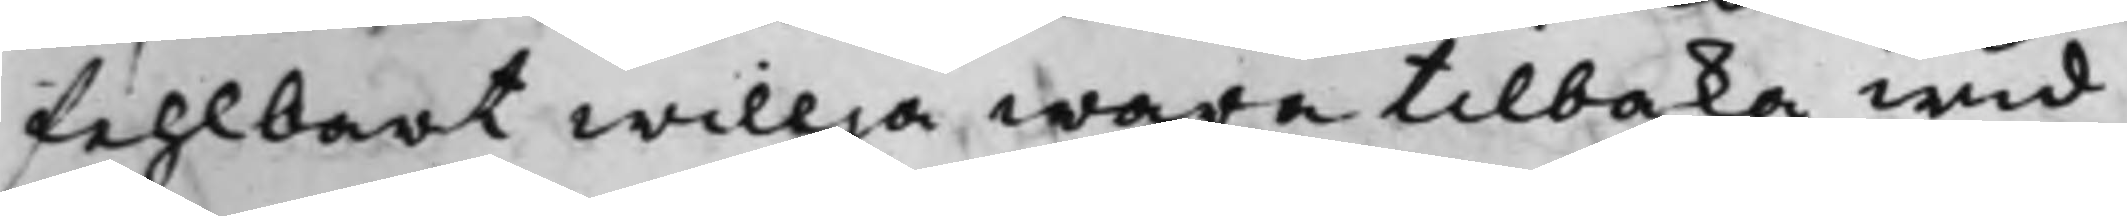fehlbart willja wara tilbaka wid
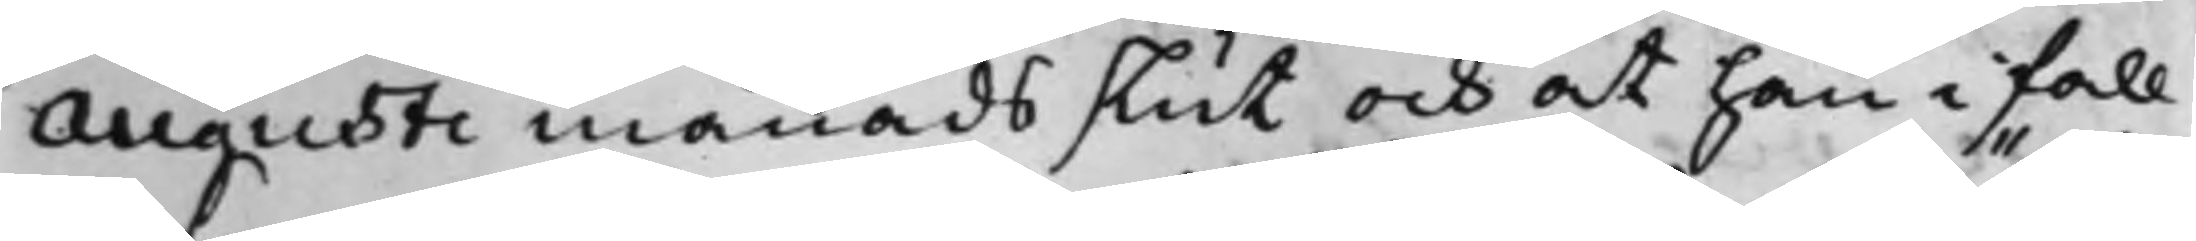Augusti månads slut och at han i fall
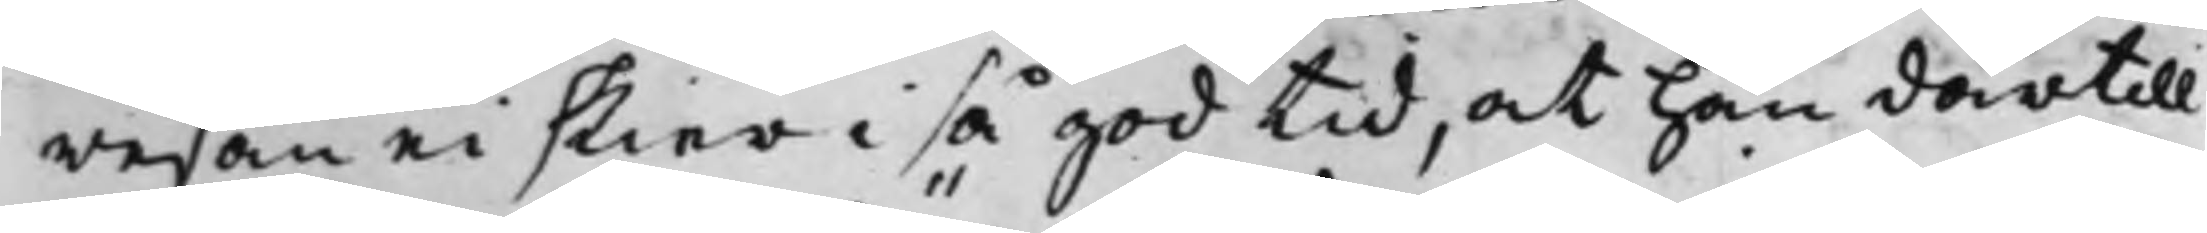resan ei skier i så god tid, at han därtill
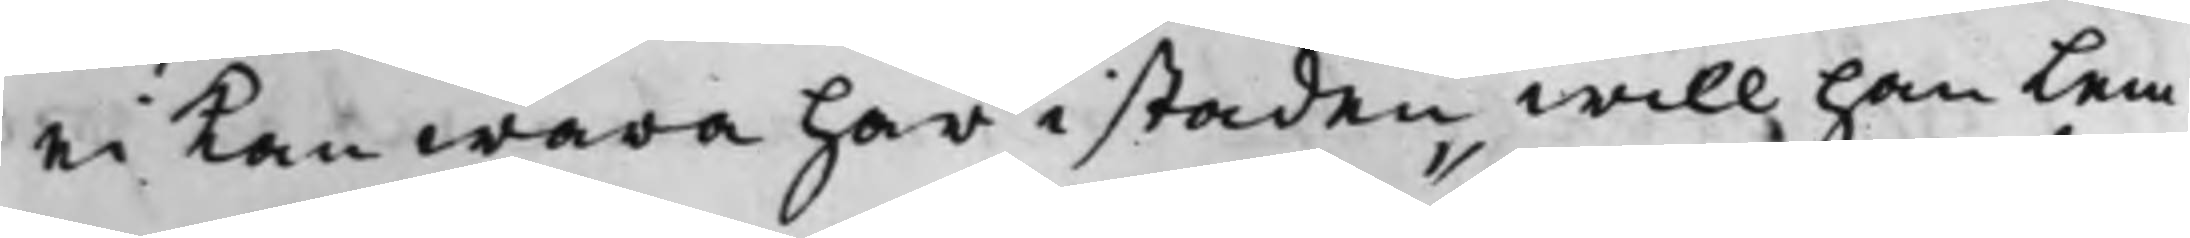ei kan wara här i staden will han Lem¬
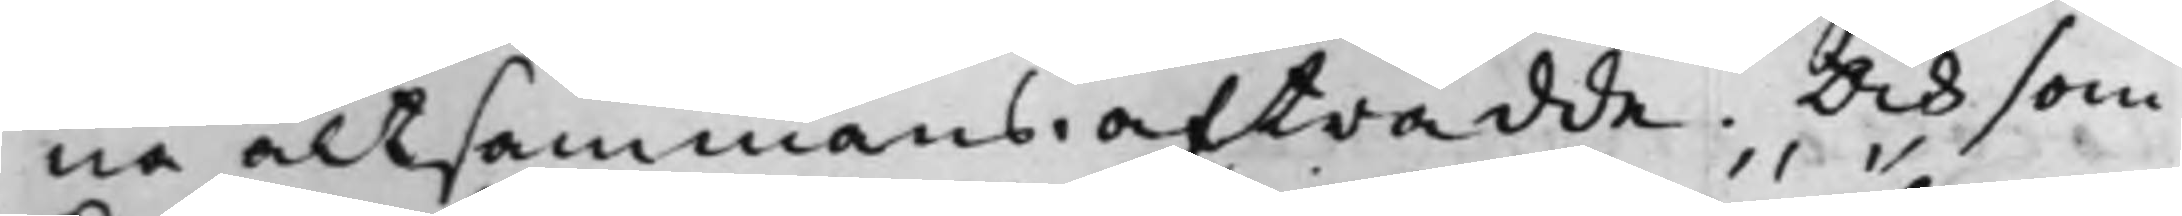na altsammans. afträdde. Och som
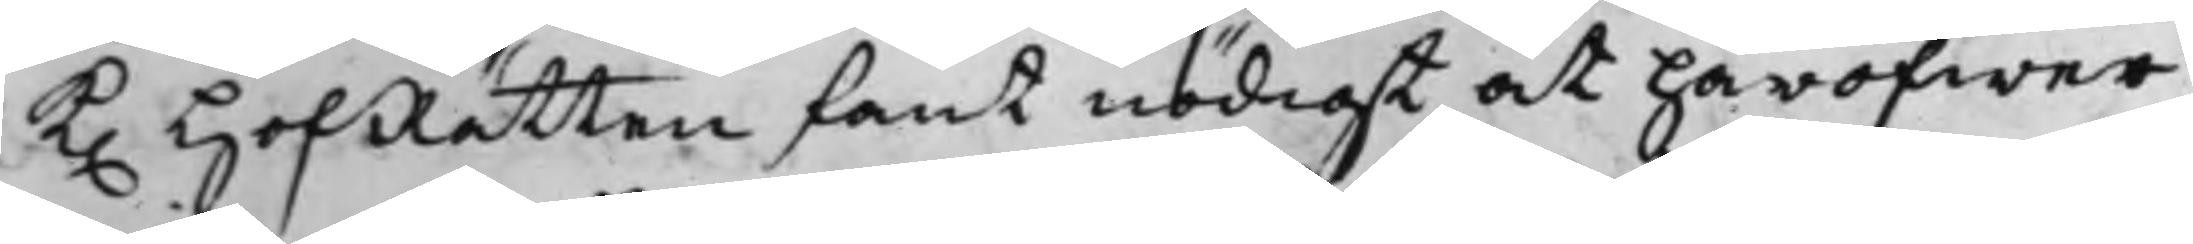K. HofRätten fant nödigt at häröfwer
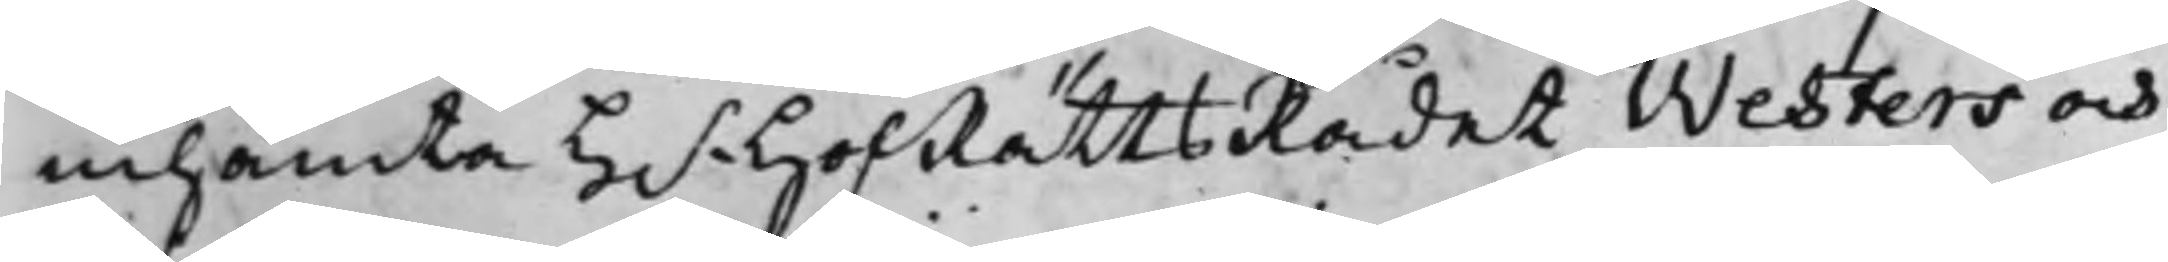inhämta H.r HofRättsRådet Westers och
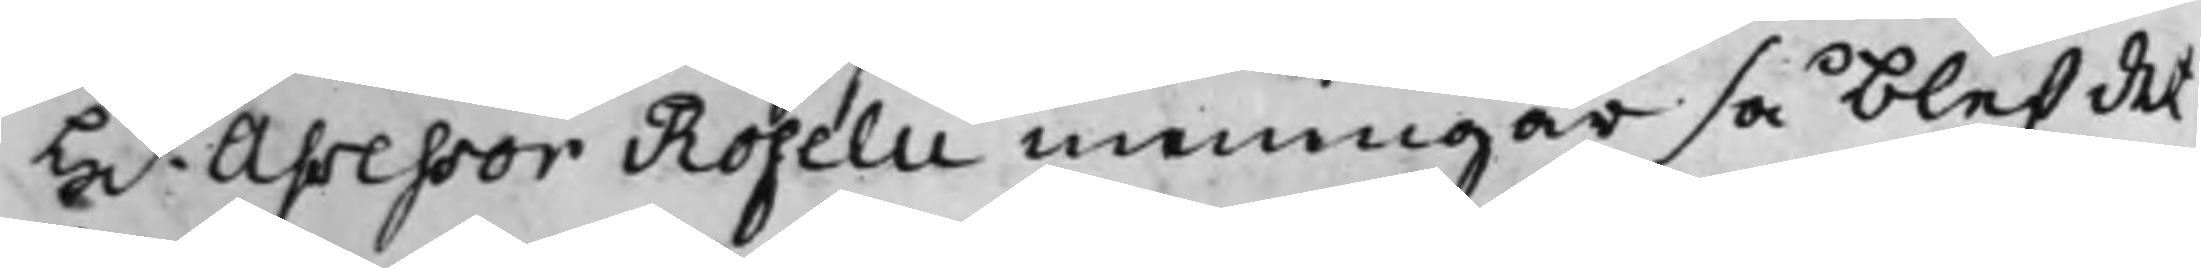H.r Assessor Roselii meningar så blef det¬
